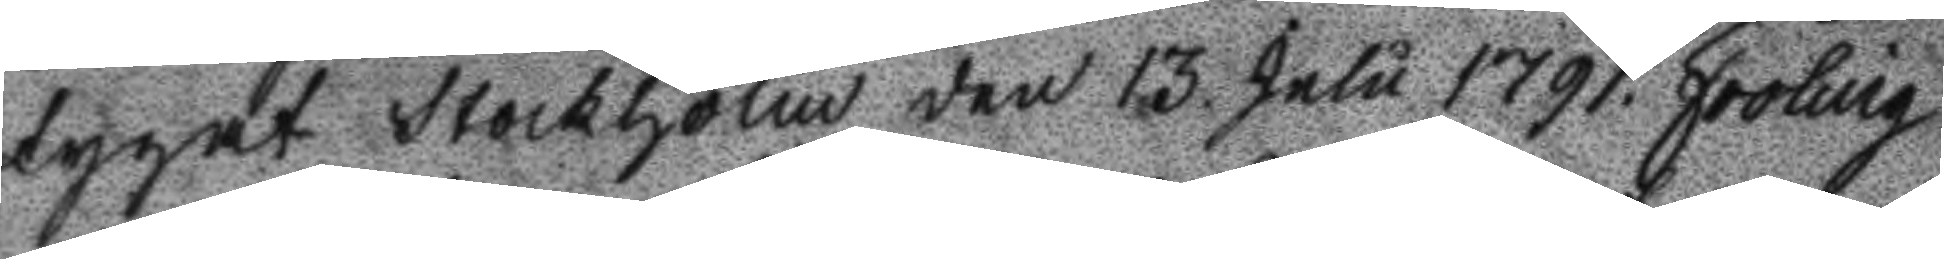tygat Stockholm den 13. Julu 1791. Fröling.
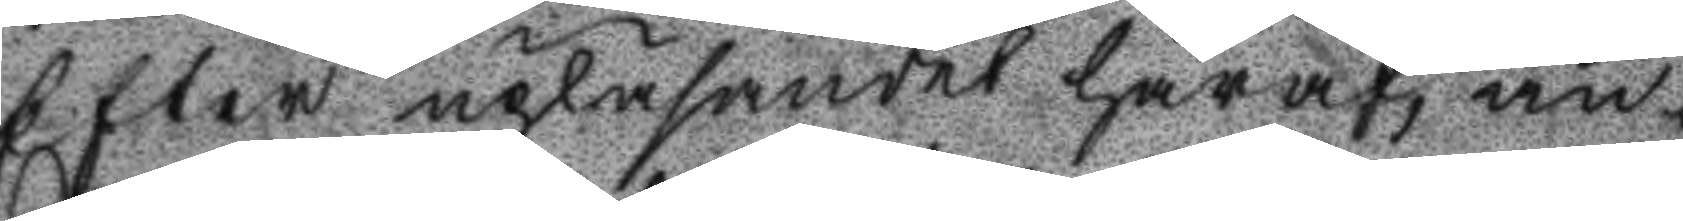Efter upläsandet häraf, anförde
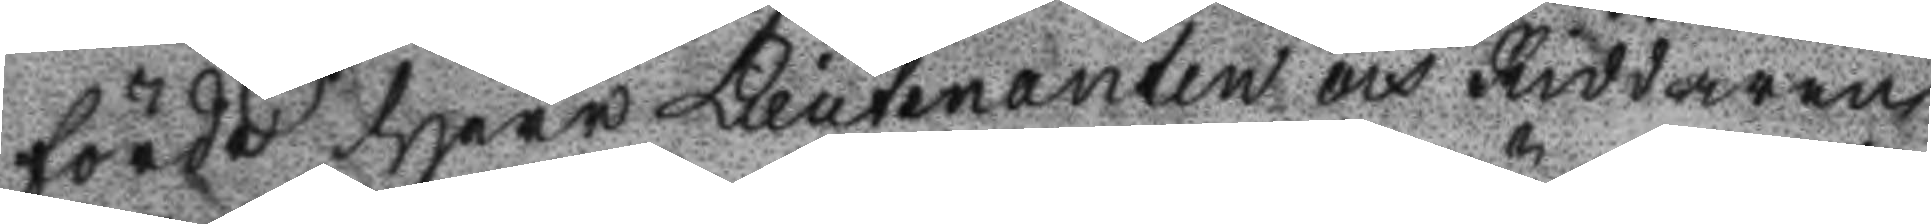Herr Lieutenanten Riddaren
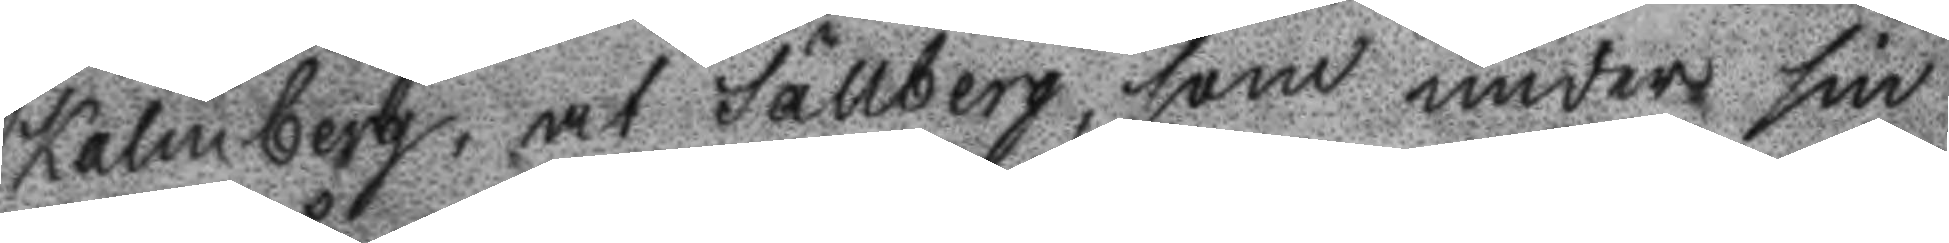Kalmberg, at Sällberg, som under sin
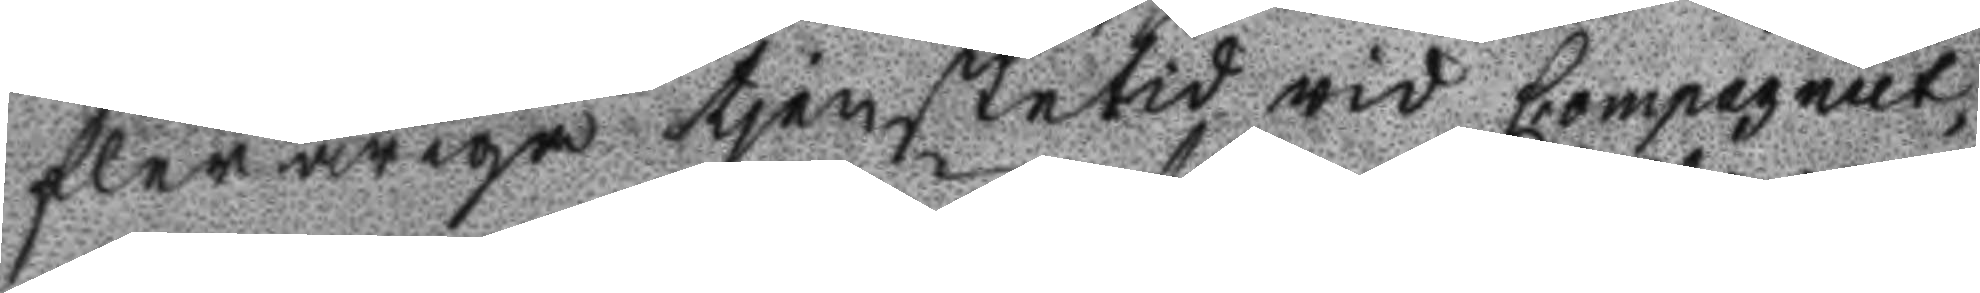fleråriga tjenstetid wid Compagniet,
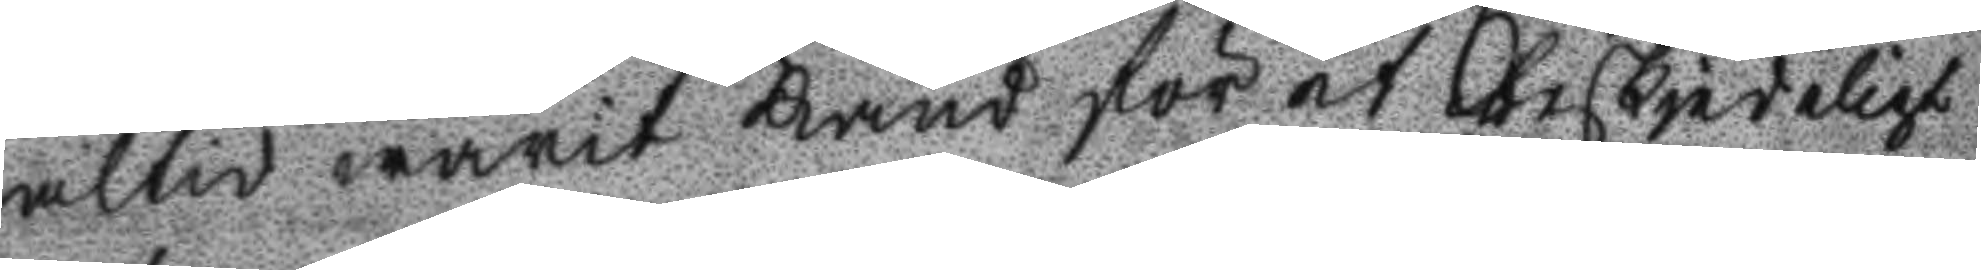altid warit känd för et beskedeligt
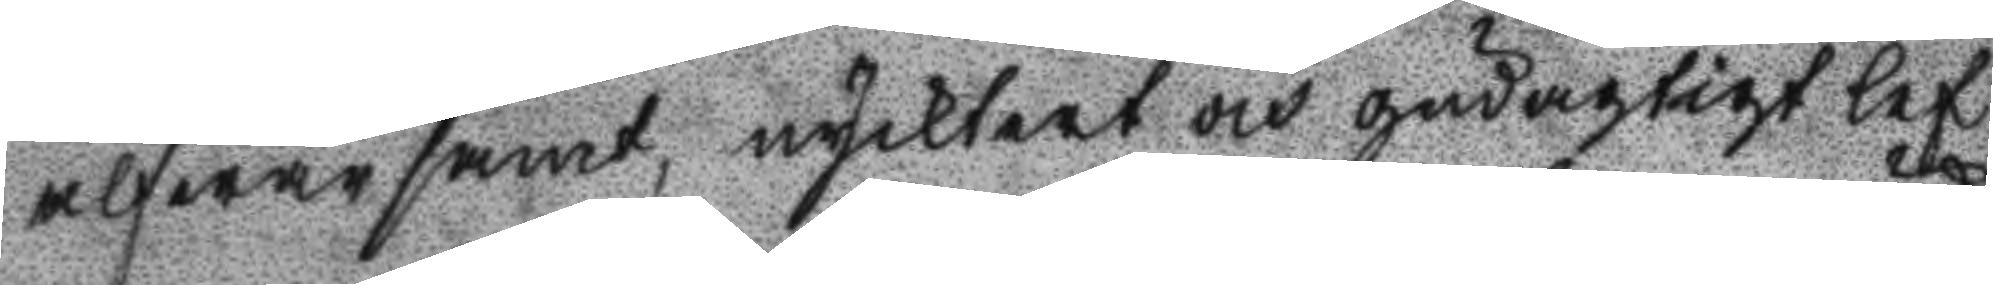alfwarsamt, nycktert och gudaktigt lef
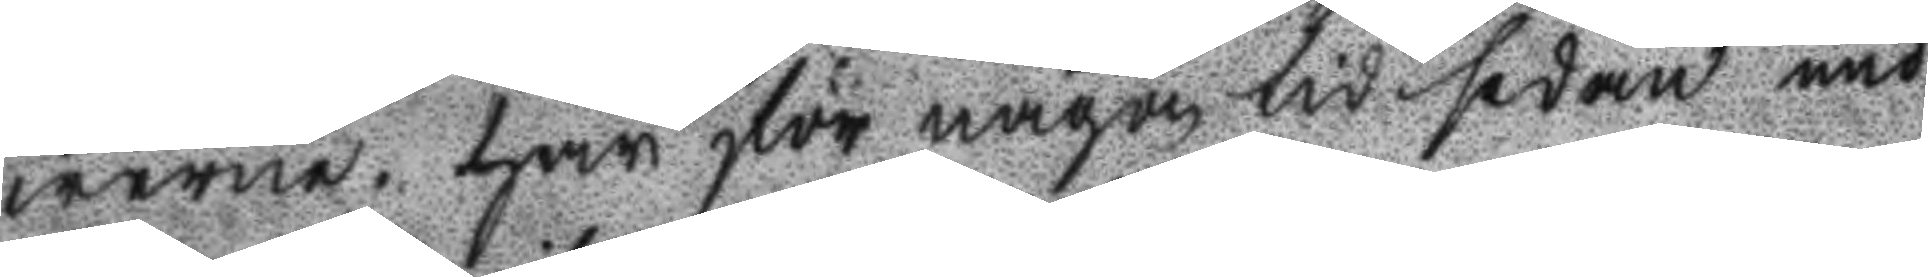werne. har för någon tid sedan und
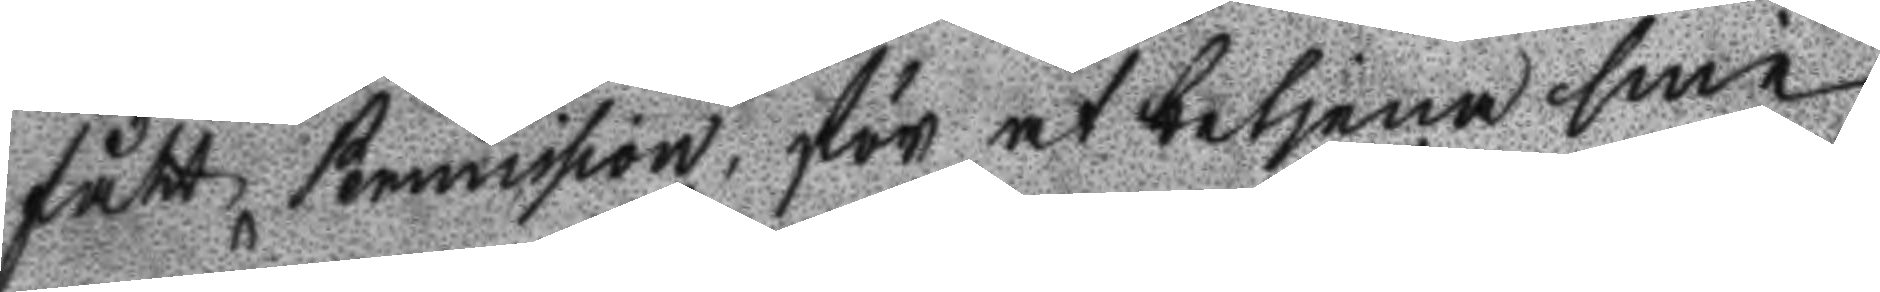fått Permission, för at betjena sine
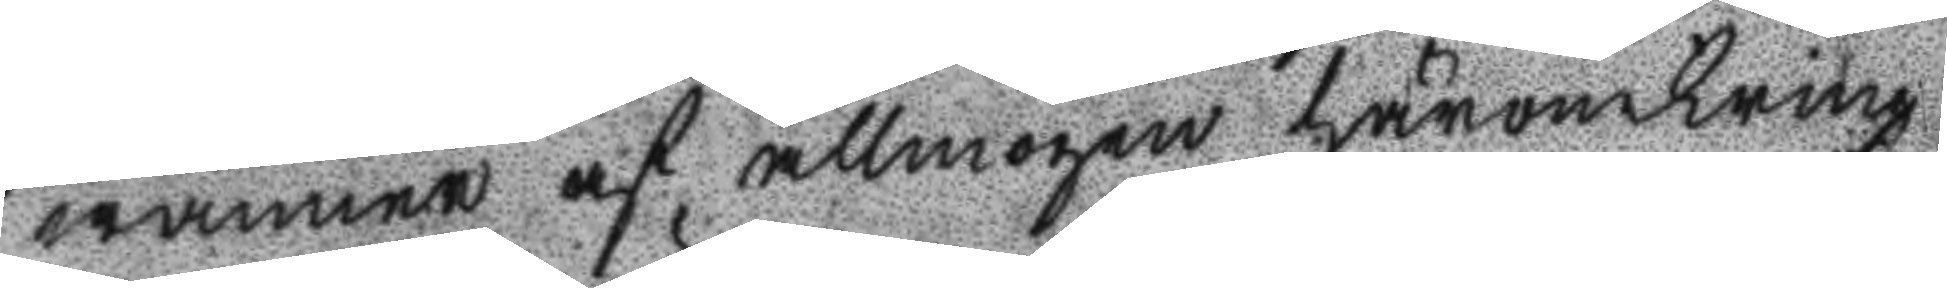wänner af allmogen häromkring
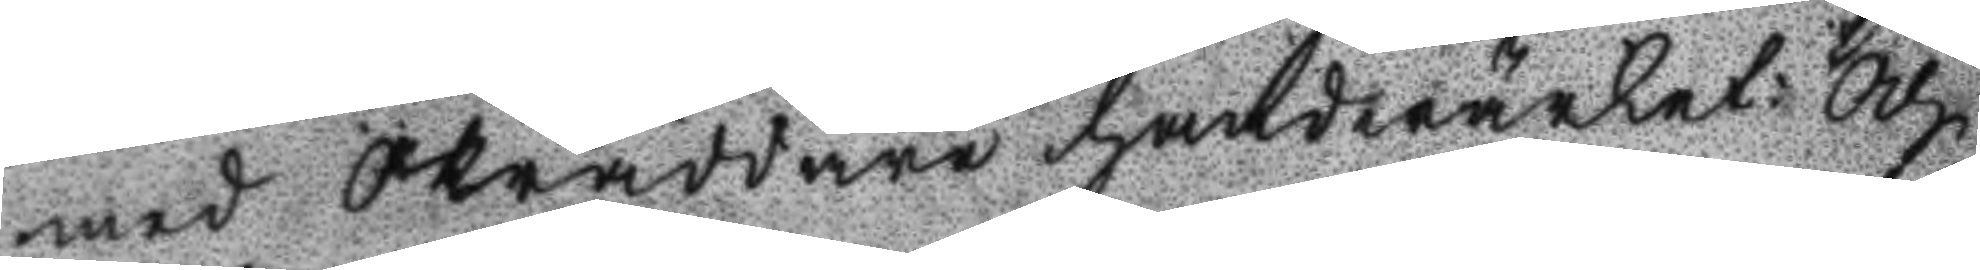men Skräddare Handwärket: Och
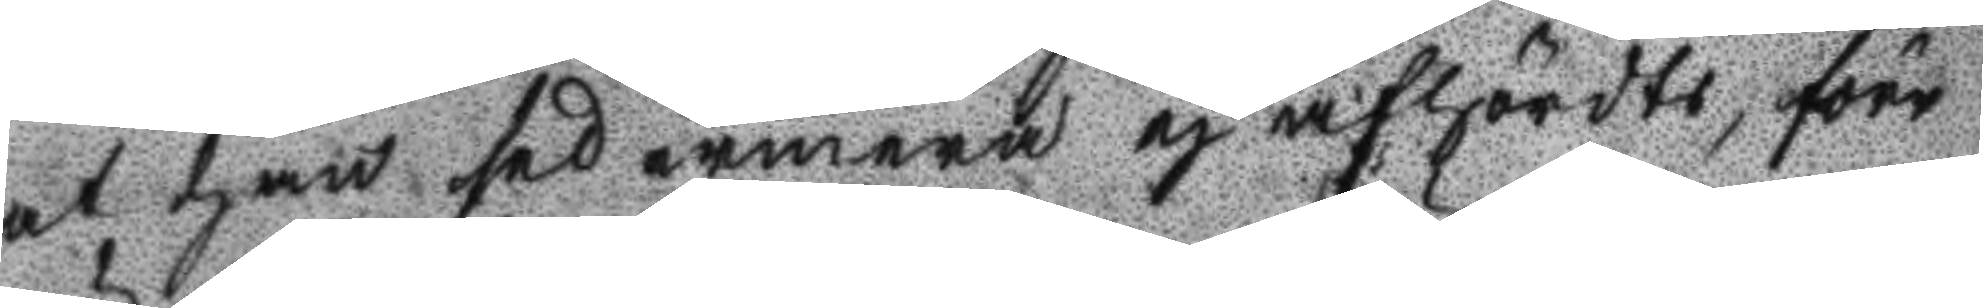at han sedermera ej afhördts, förr
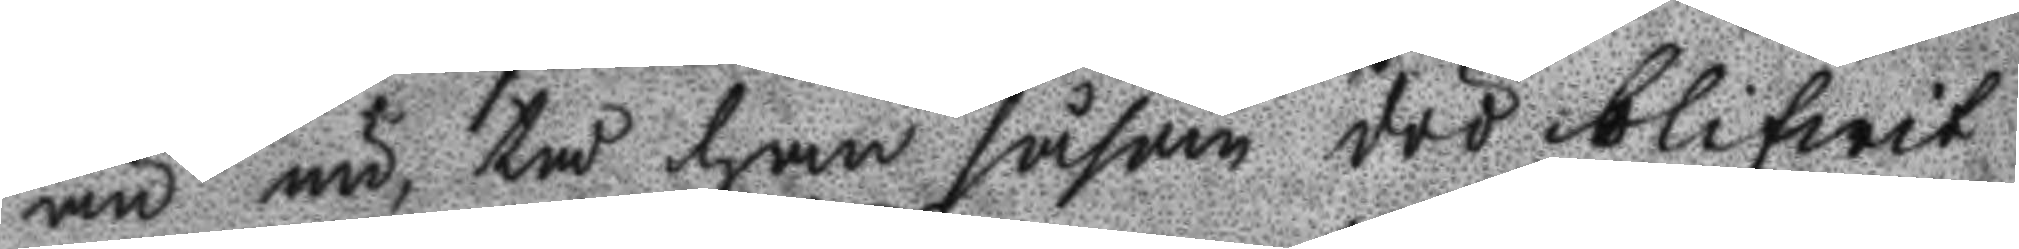än nu, tå han såsom död blifwit
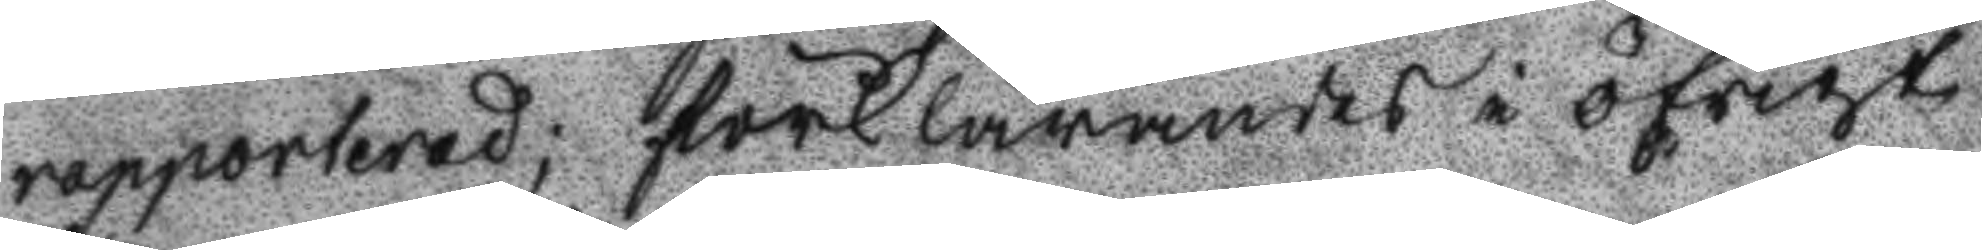rapporterad; förklarandes i öfrigt
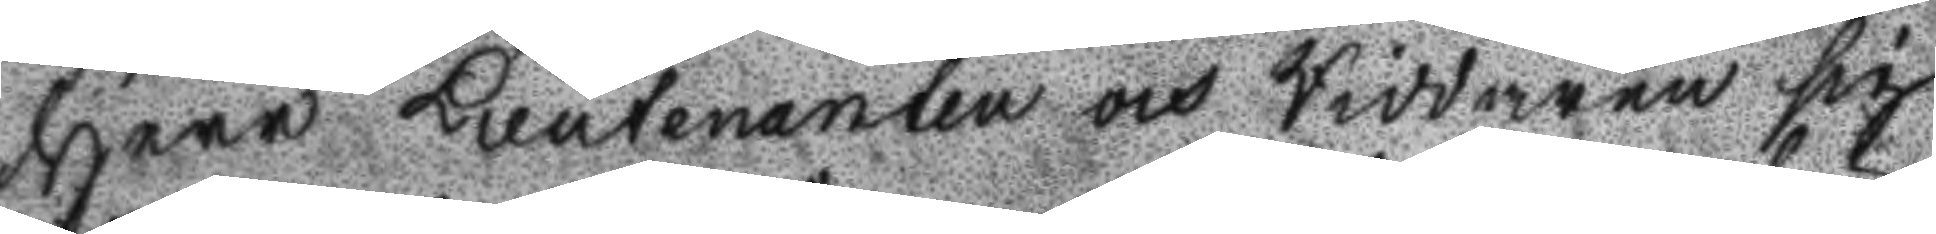Herr Lieutenanten och Riddaren sig
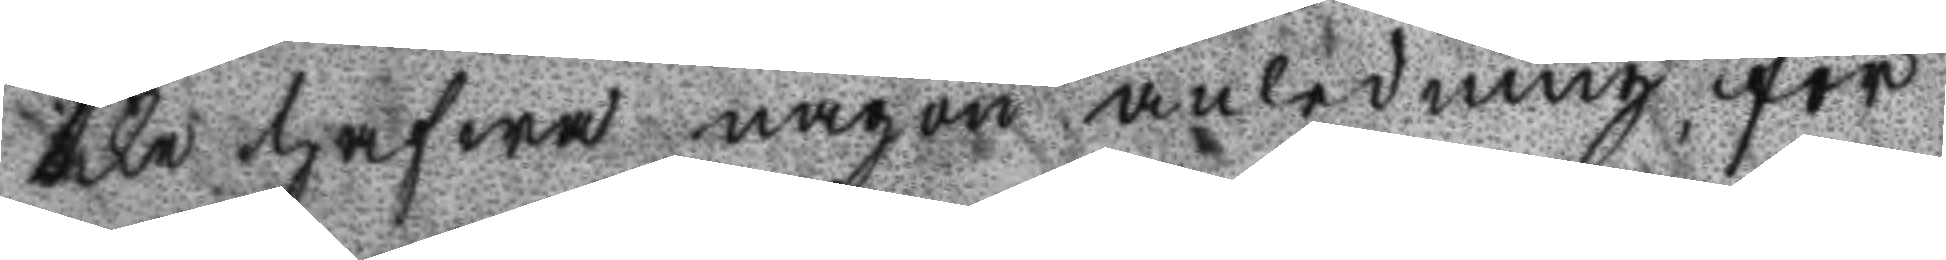icke hafwa någon anledning för
